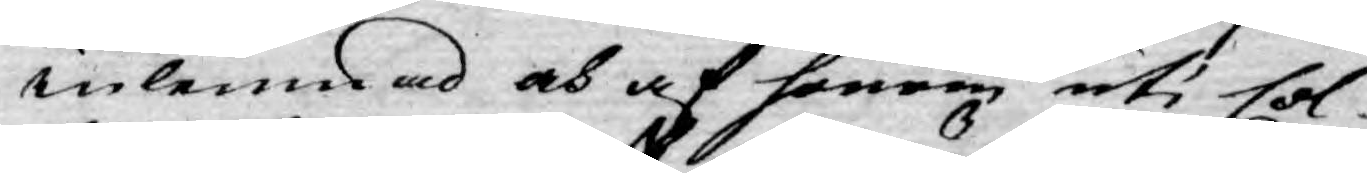inlemnad och af honom uti Col¬
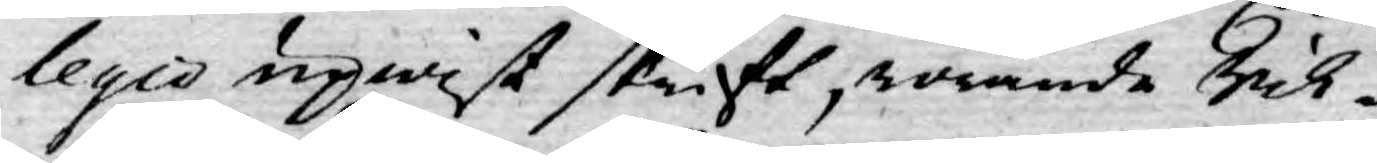legio upwist skrift, rörande Rik¬
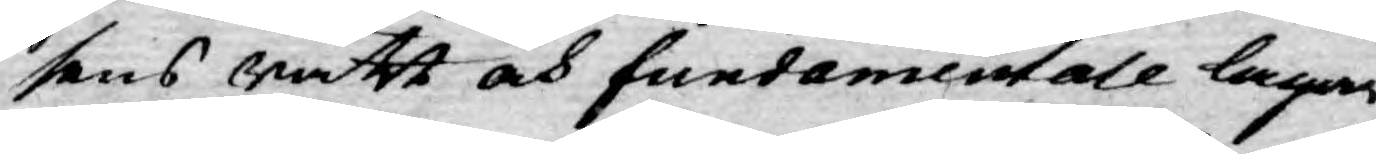sens rätt och fundamentale lagar,
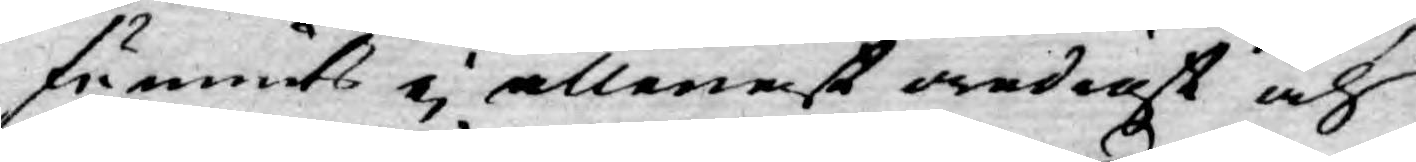funnit ej allenast oredigt och
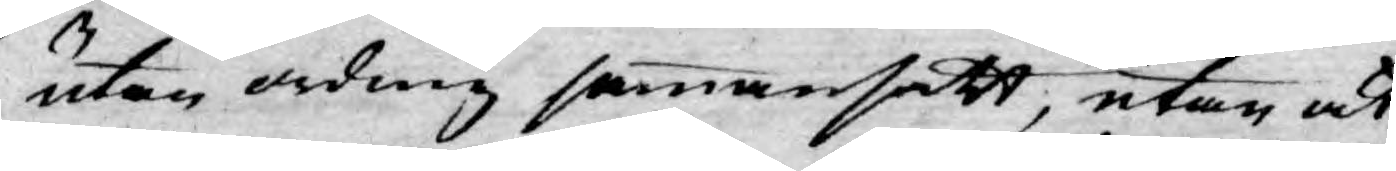utan ording sammansatt, utan ock
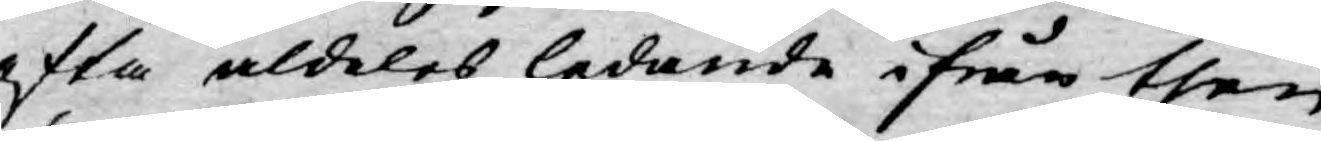ofta aldeles ledande ifrån then
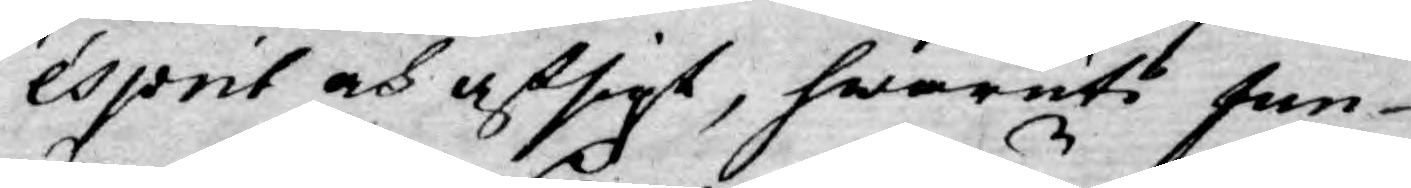ésprit och afsigt, hwaruti fun¬
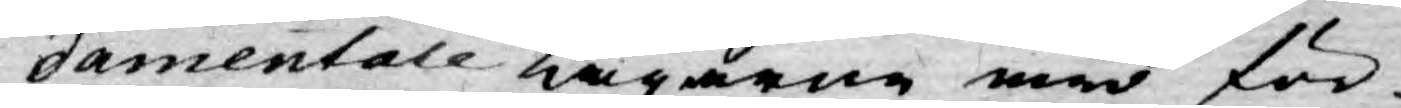damentale Lagarne äro för¬
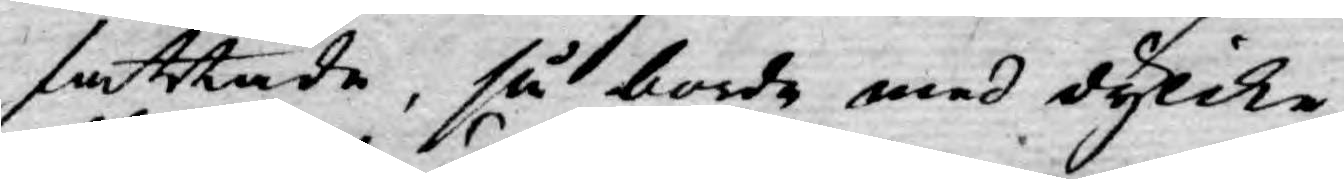fattade, så borde med dylike
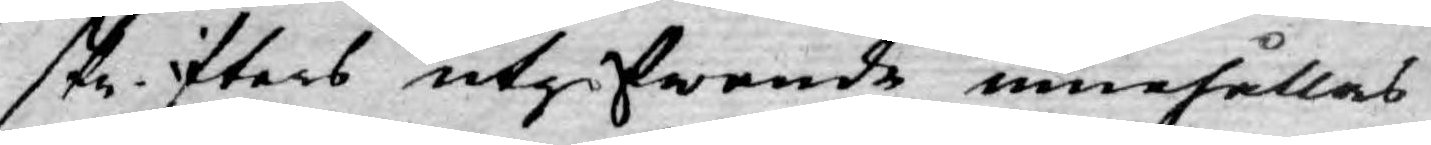skrifters utgifwande innehållas
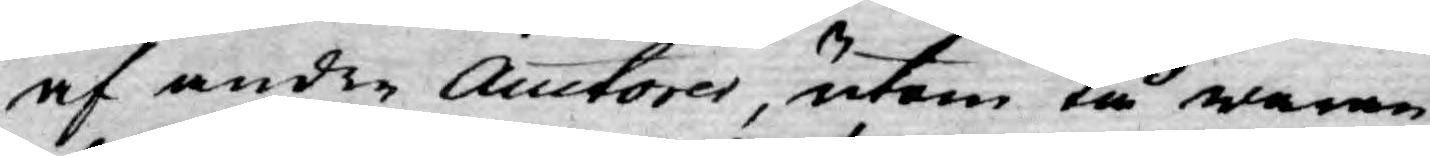af andre Auctorer, utom tå waran¬
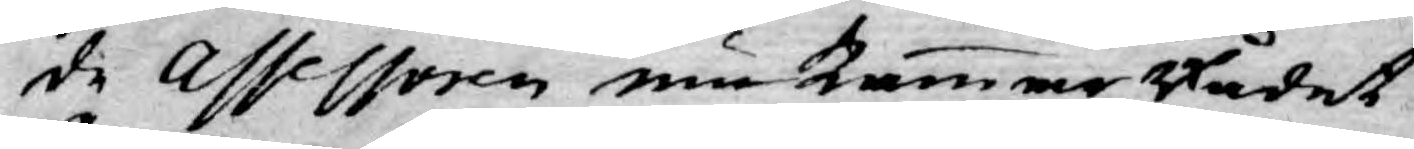de Assessoren nu Kammar Rådet
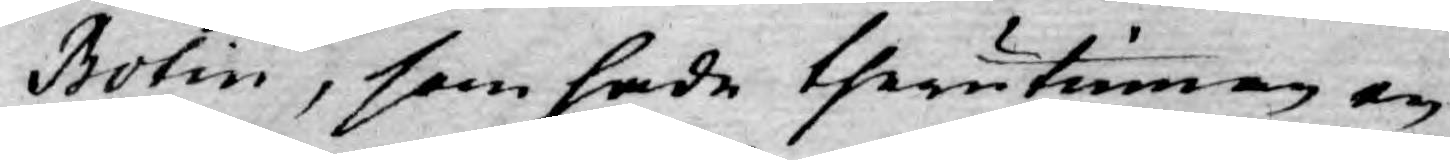Botin, som hade therutinnan en
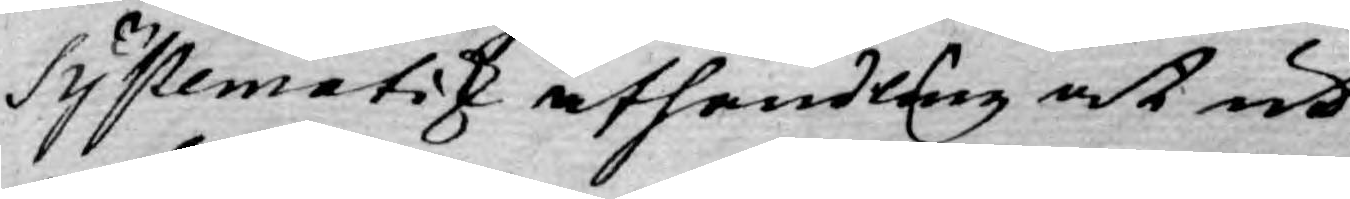Systematisk afhandling at ut¬
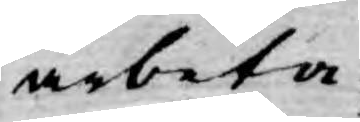arbeta;
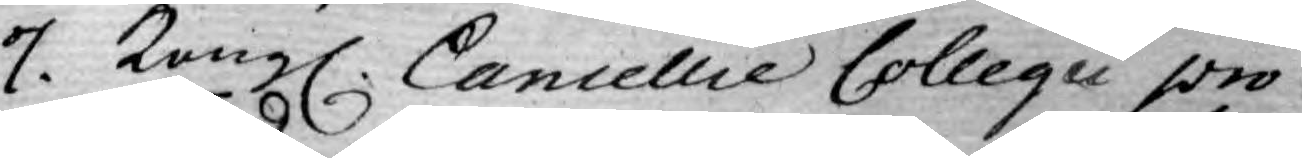7. Kongl. Cancellie Collegii pro¬
